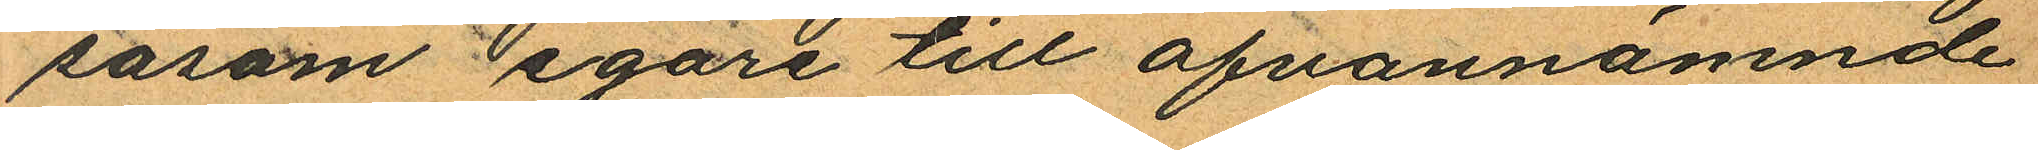såsom egare till ofvannämnde
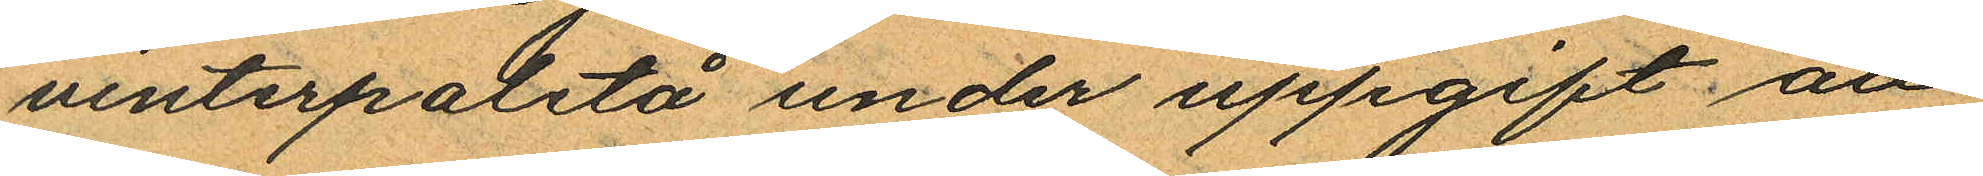vinterpaletå under uppgift att
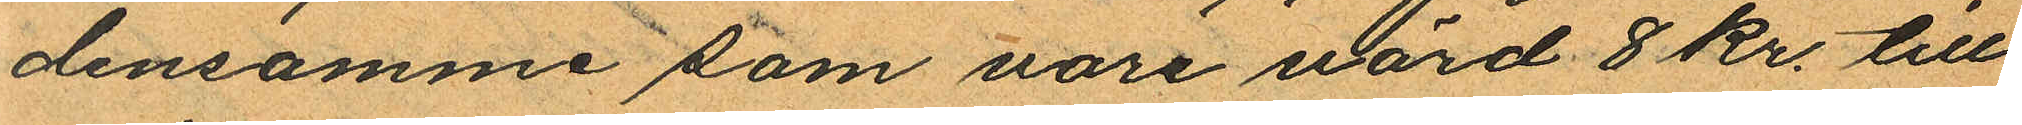densamme som vore värd 8 kr. till
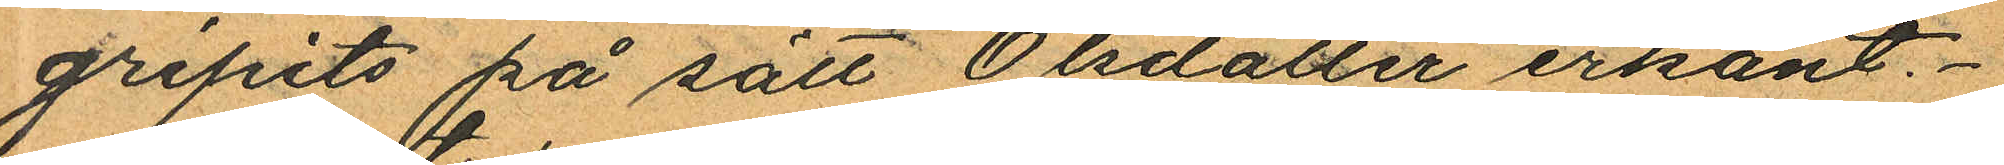gripits på sätt Olsdotter erkänt.
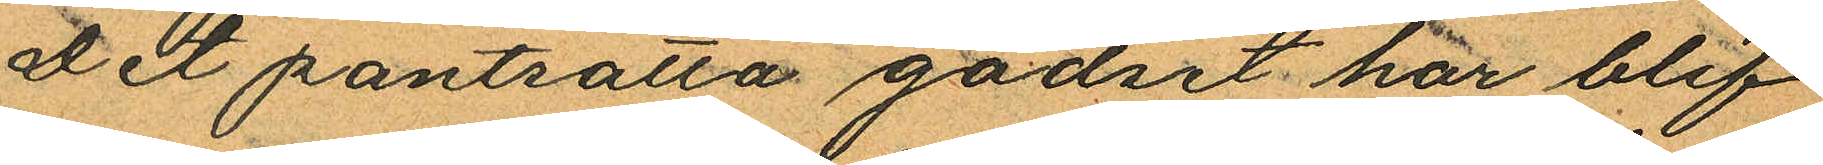Det pantsatta godset har blif¬
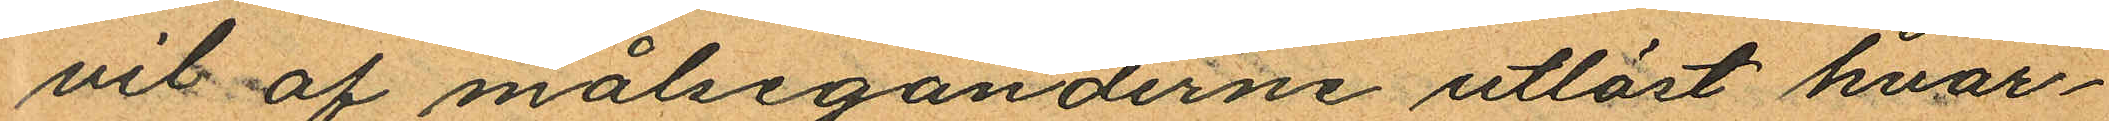vit af målseganderne utlöst hvar¬
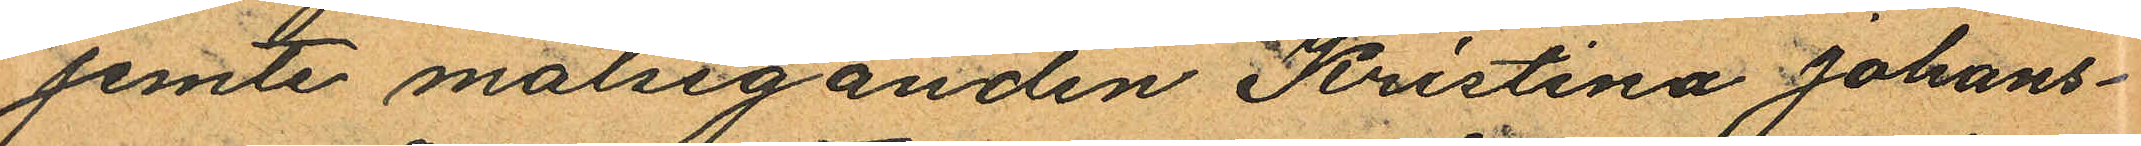jemte målseganden Kristina Johans¬
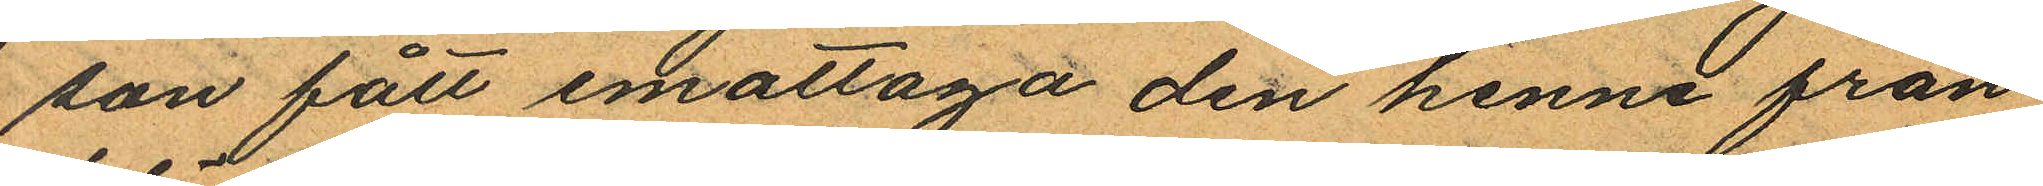son fått emottaga den henne från
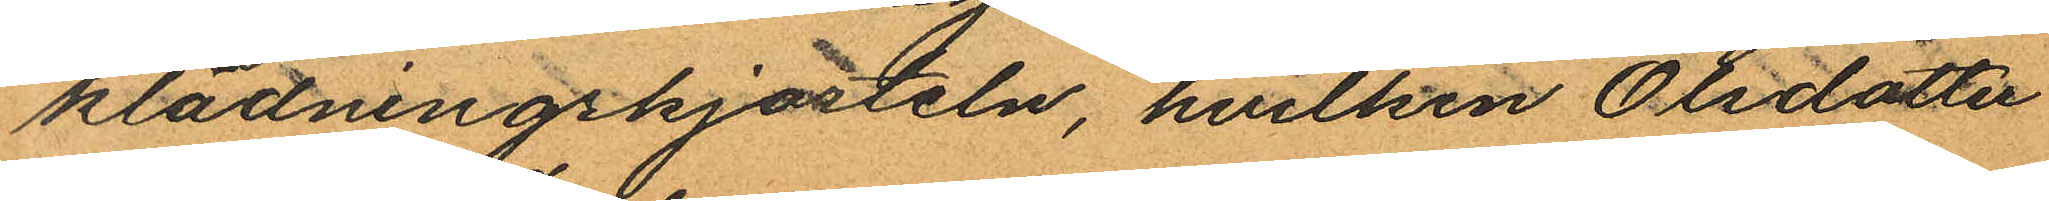klädningskjorteln, hvilken Olsdotter
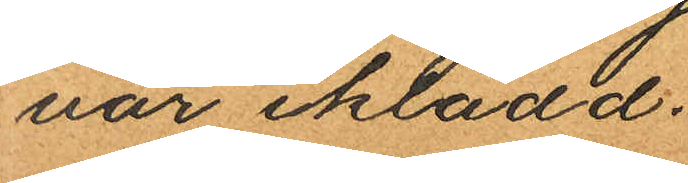var iklädd.
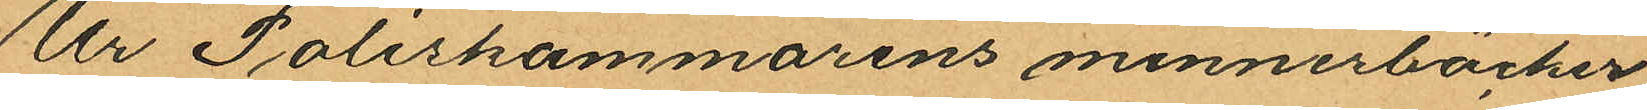Ur Poliskammarens minnesböcker
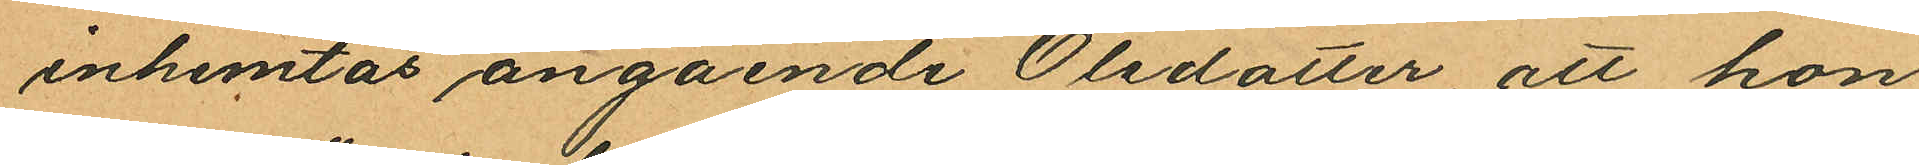inhemtas angående Olsdotter, att hon
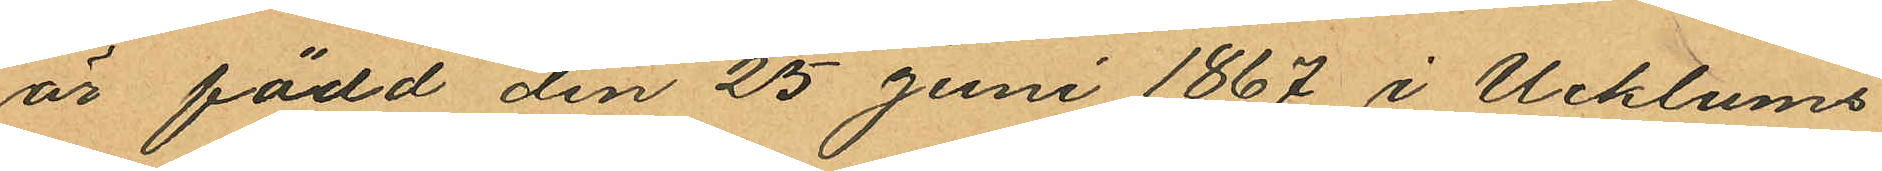är född den 25 Juni 1867 i Ucklums
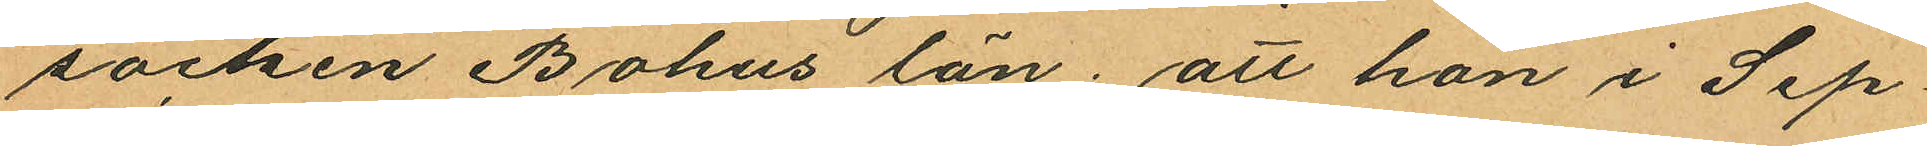socken Bohus län; att hon i Sep¬
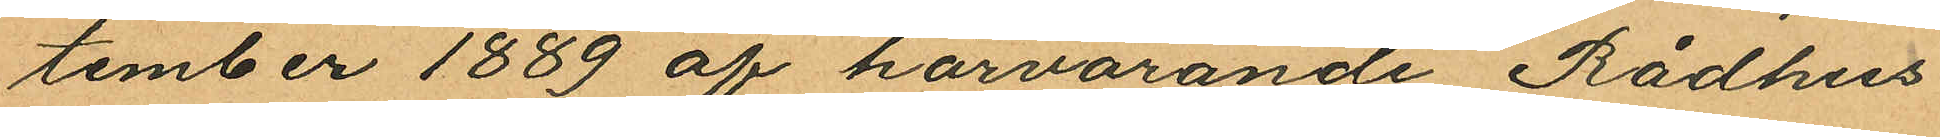tember 1889 af härvarande Rådhus
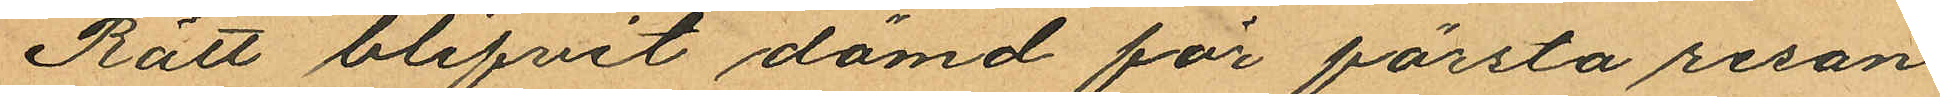Rätt blifvit dömd för första resan
